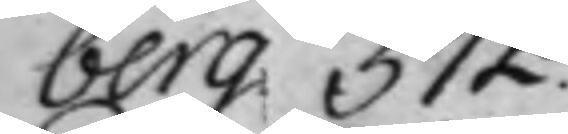berg 372.
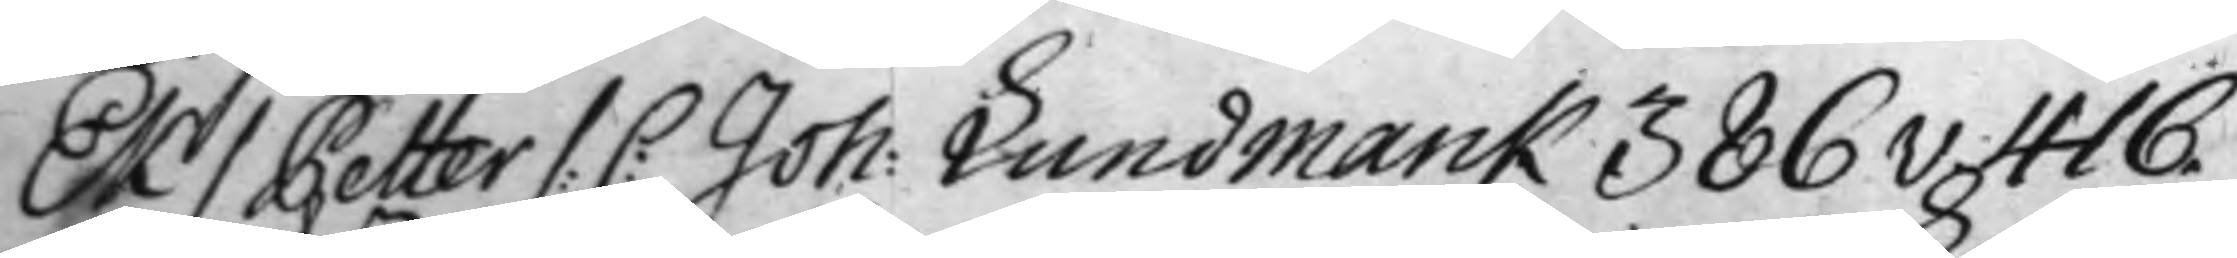Ek / Petter /: C: Joh: Lundmarck 386v. 416.
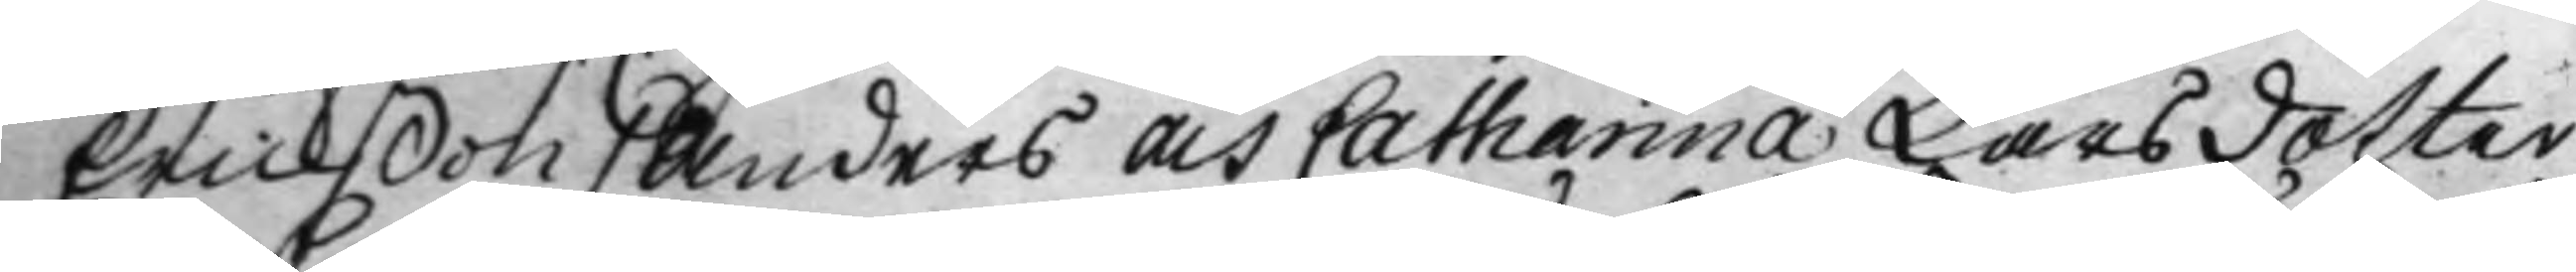Erickßon / Anders och Catharina Larsdotter
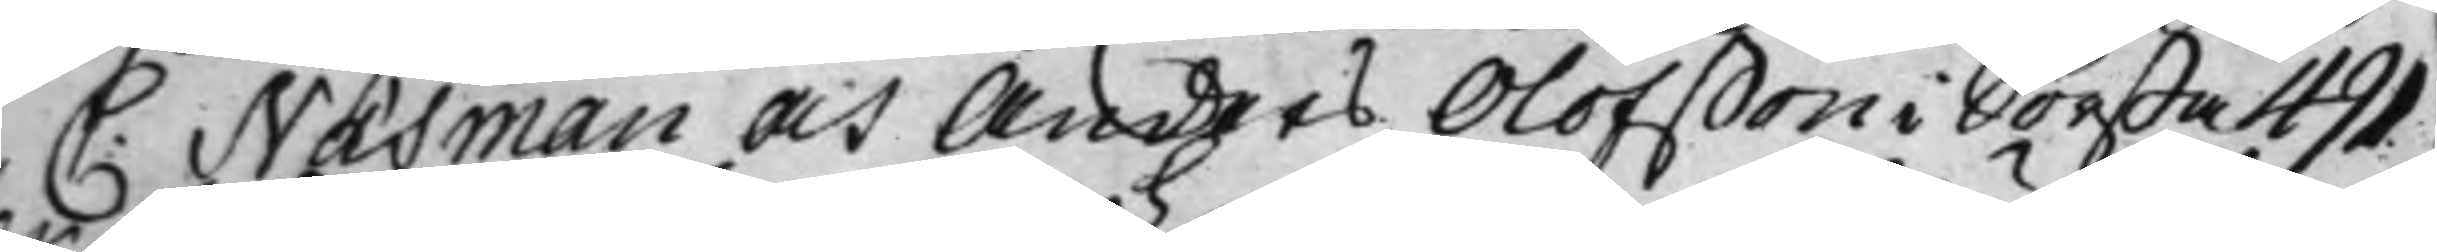C: Näsman och Anders Olofßon i Sörsta 491
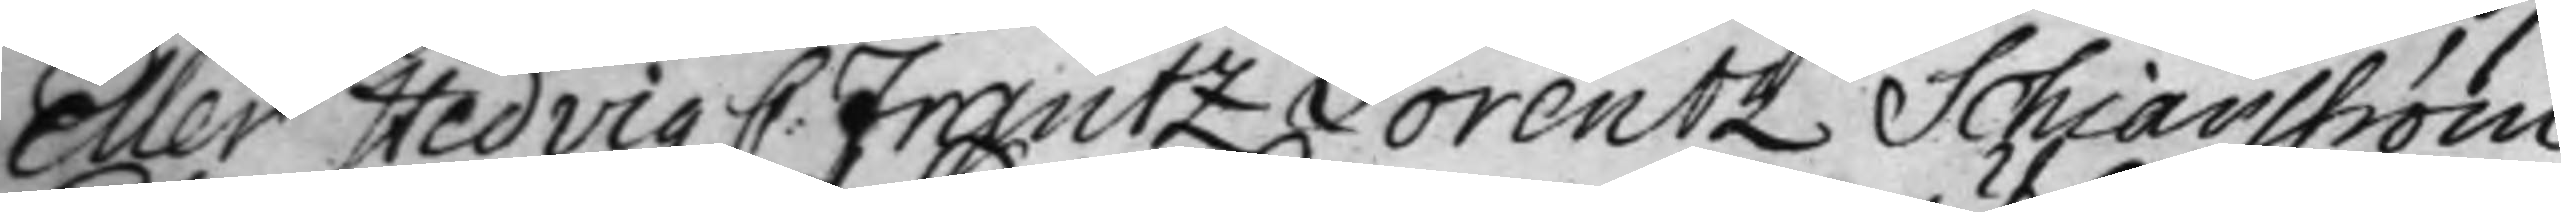Eller Hedvig C: Frantz Lorentz Schiärström
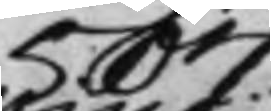507.
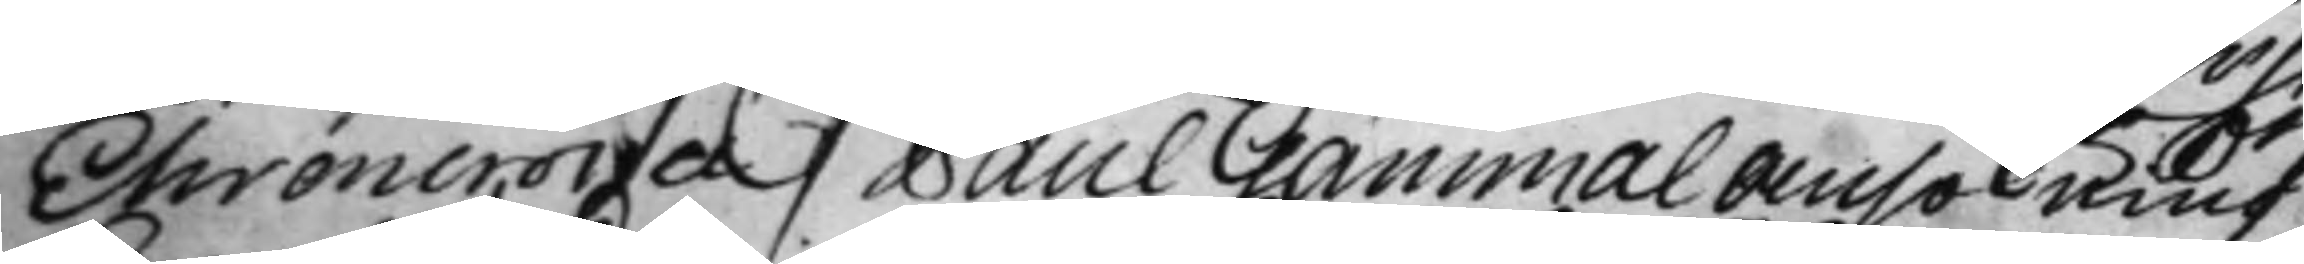Ehrencrona / Paul Gammal Ansökning
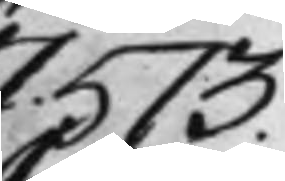573.
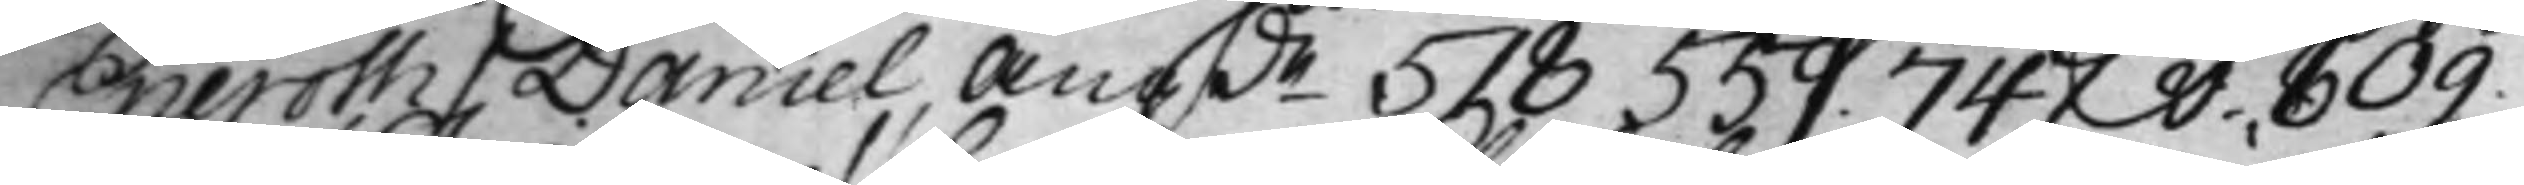Eneroth / Daniel, Angde 518 559.  747v. 809.
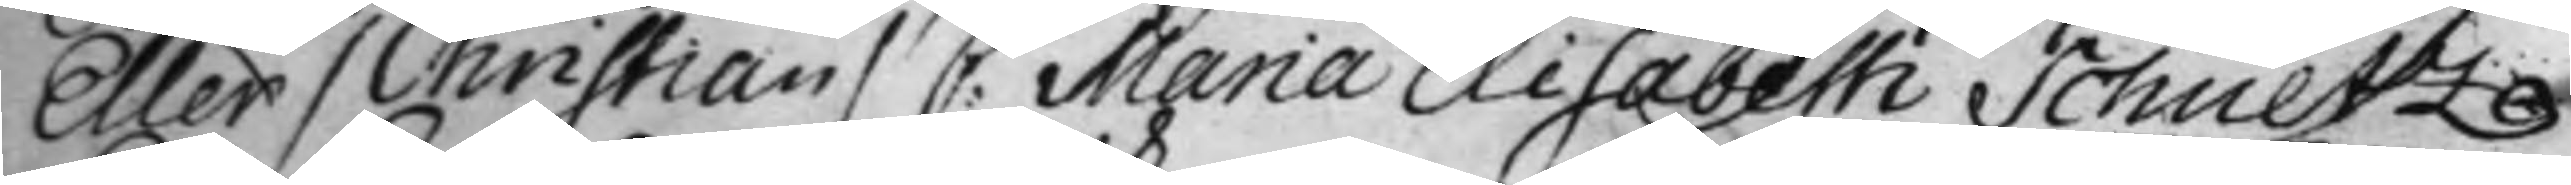Eller / Christian/ C: Maria Elisabeth Schultze
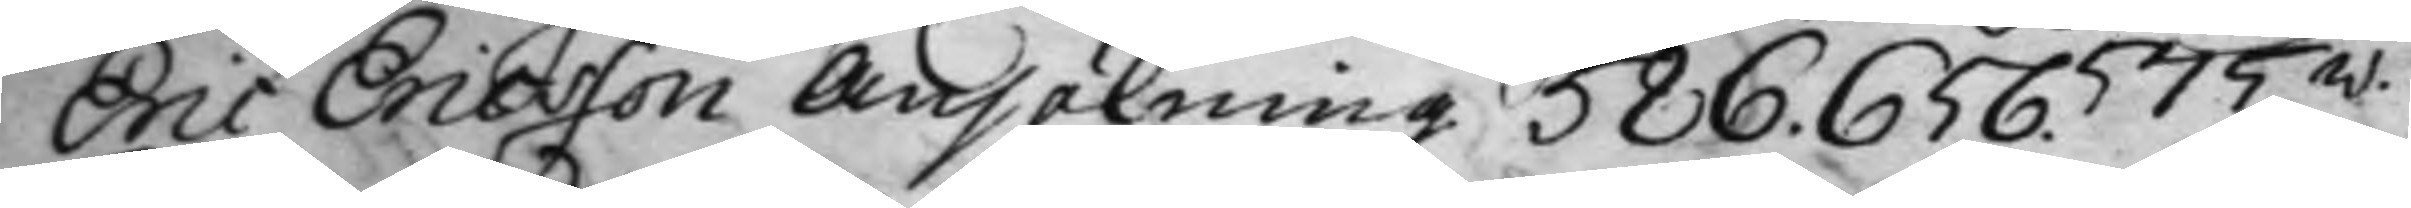Eric Ericsson Ansökning 586. 656. 575v. 
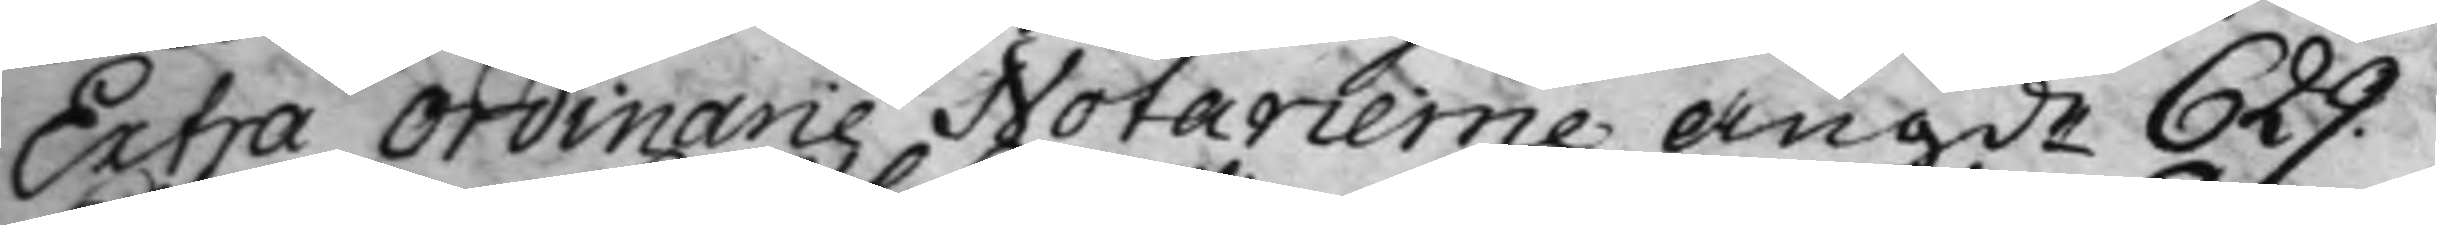Extra Ordinarie Notarierne angde 629.
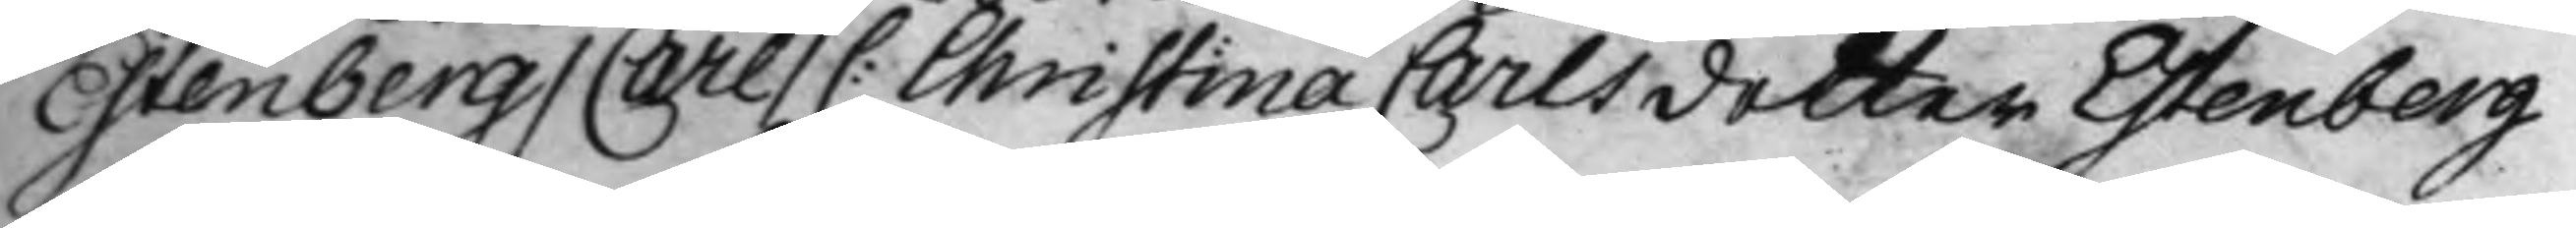Estenberg / Carl / C: Christina Carlsdotter Estenberg
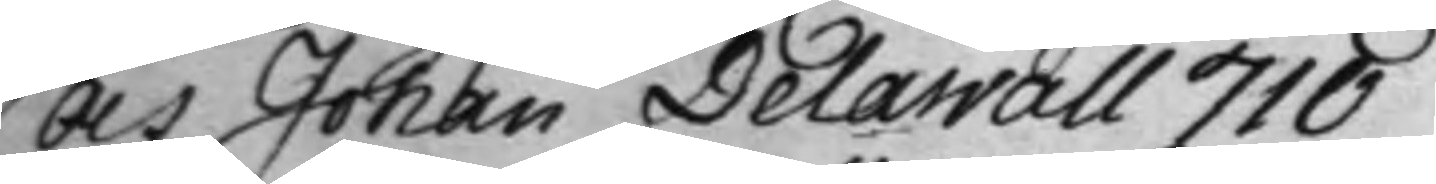Och Johan Delawall 710
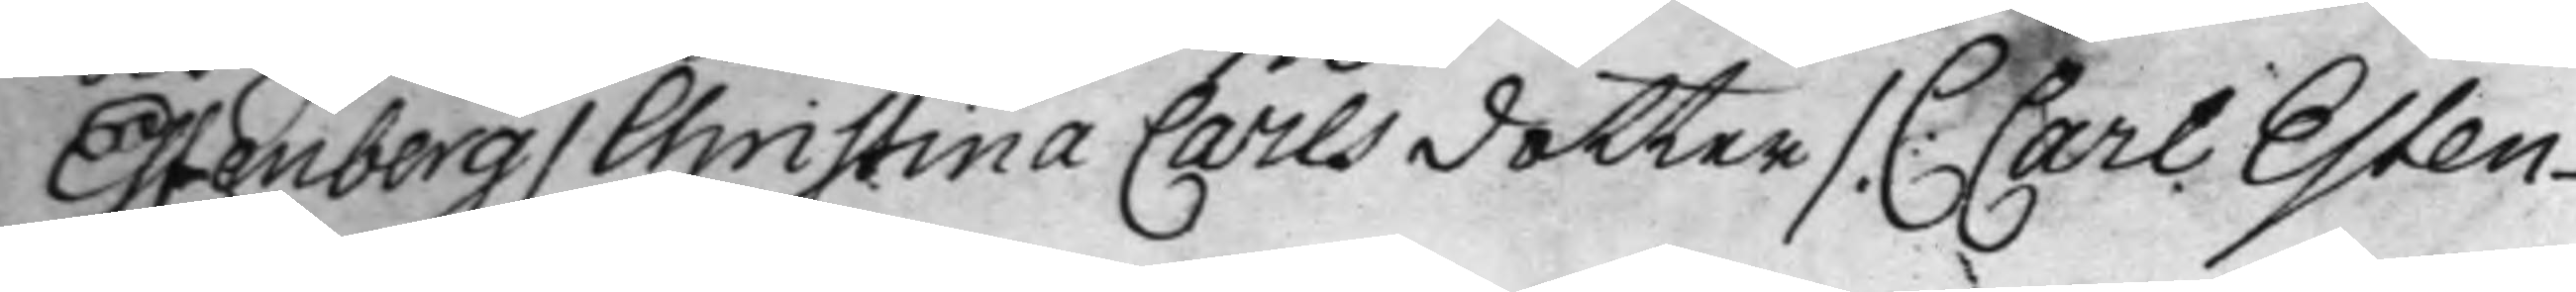Estenberg / Christina Carlsdotter /. C: Carl Esten¬
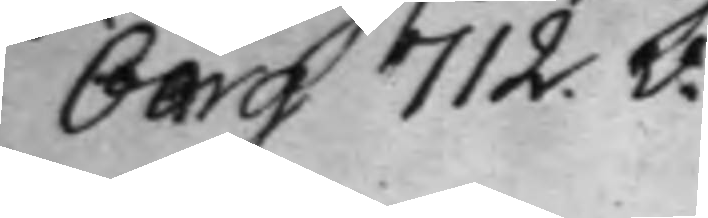berg 712.v.
